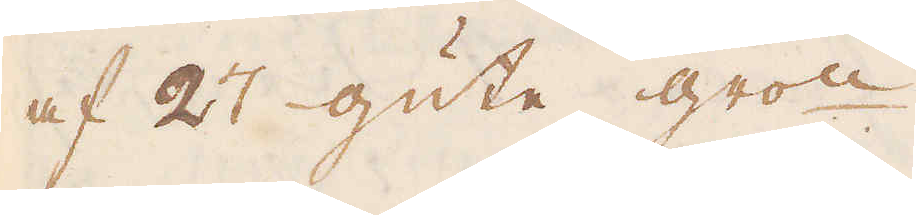af 27 gute gro:n.
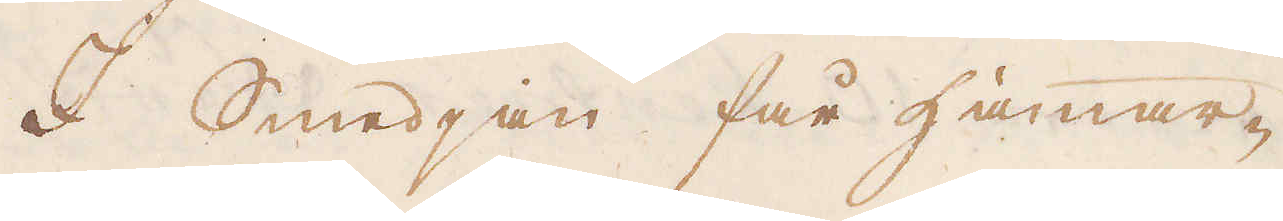I Smedjan får Hammar-
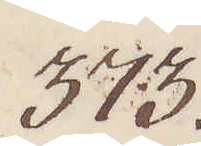373.
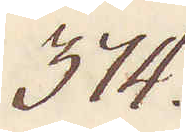374.
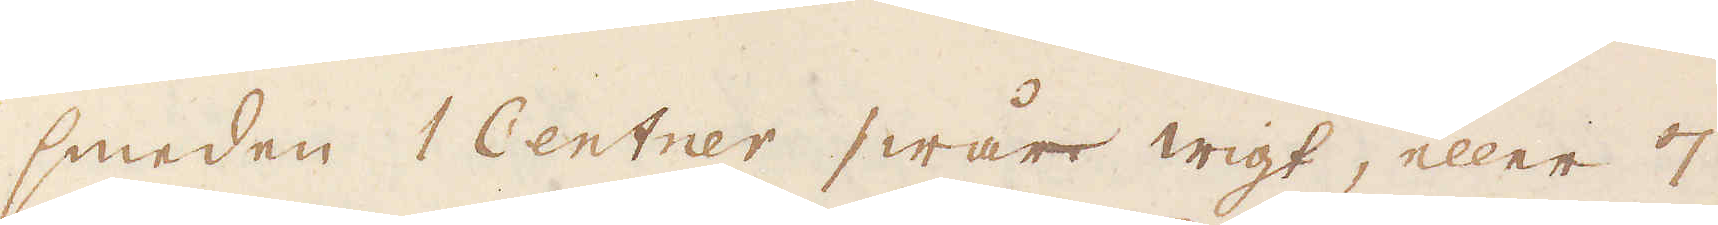smeden 1 Centner swår wigt, eller 7
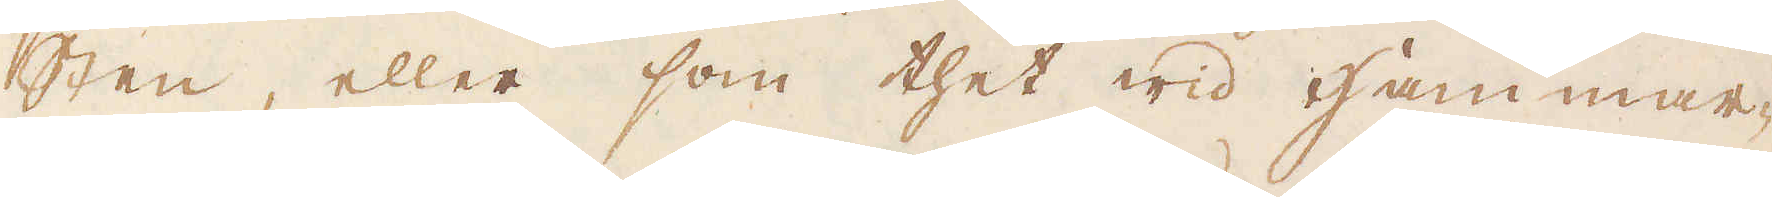sten, eller som thet wid Hammar-
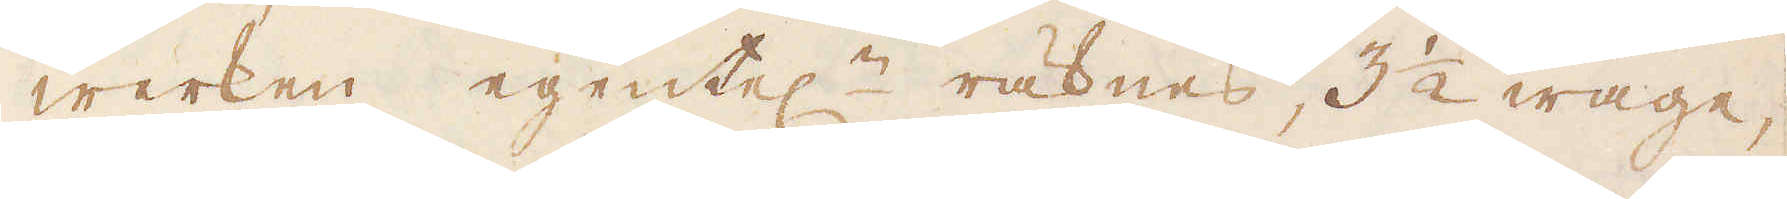werken egentel:n räknes, 3 1/2 wage,
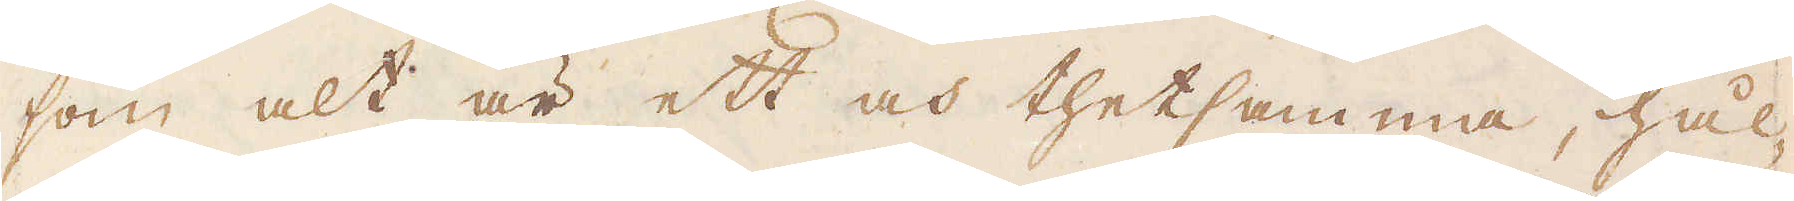som alt är ett och thetsamma, hål-
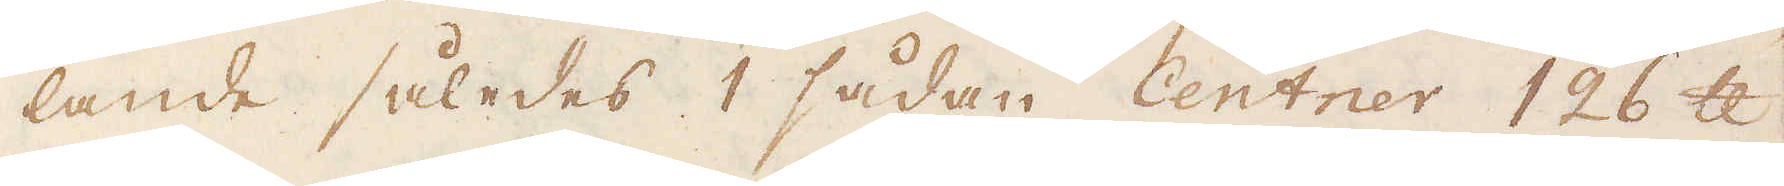lande således 1 sådan Centner 126 skålpund
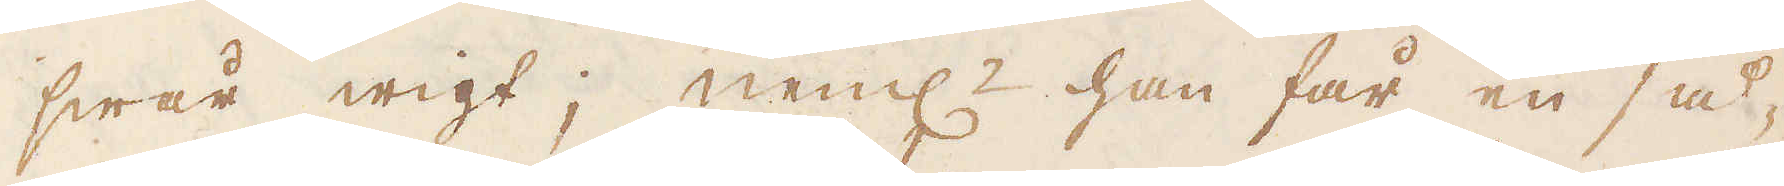swår wigt; neml:n han får en så-
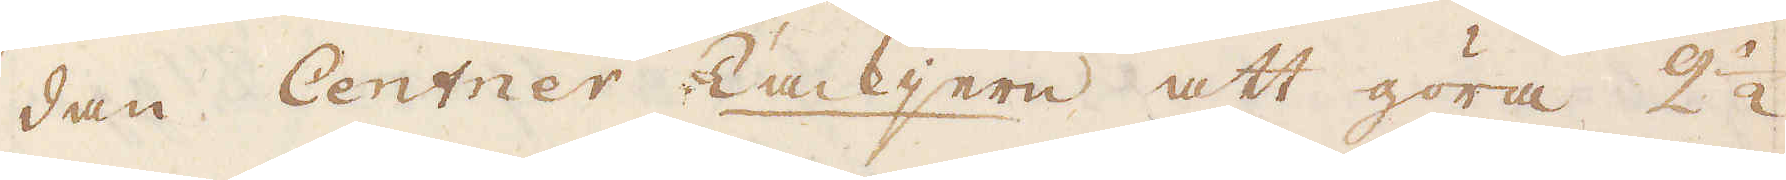dan Centner Tackjern att göra 2 1/2
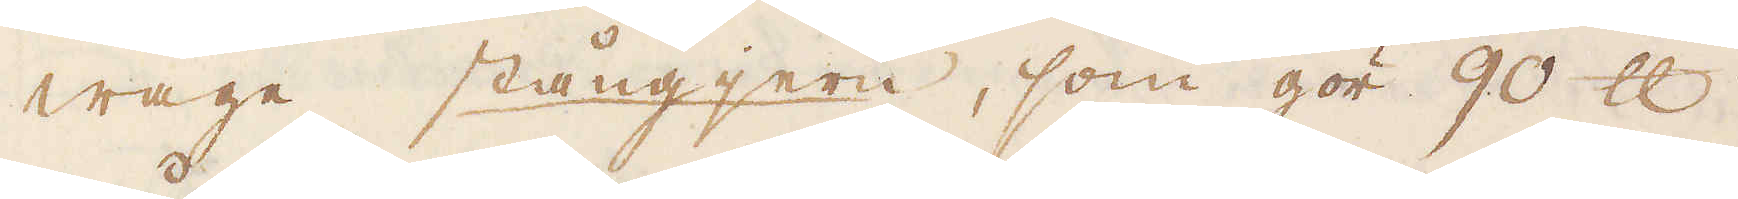wage stångjern, som gör 90 skålpund
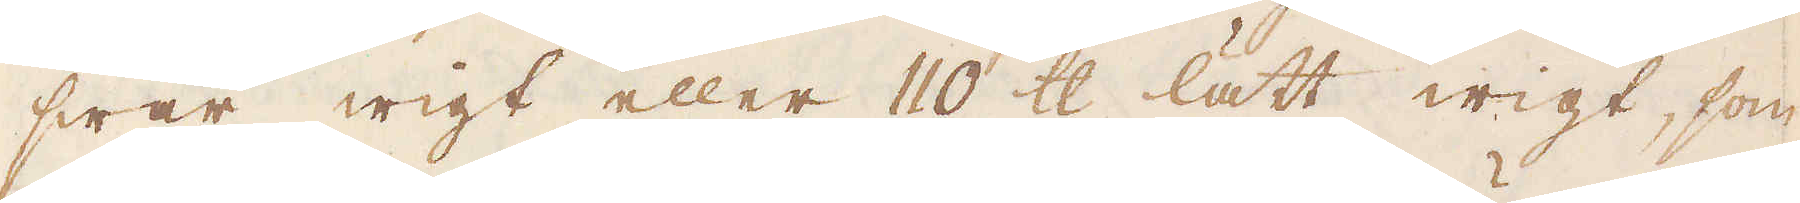swår wigt eller 110 skålpund lätt wigt, som
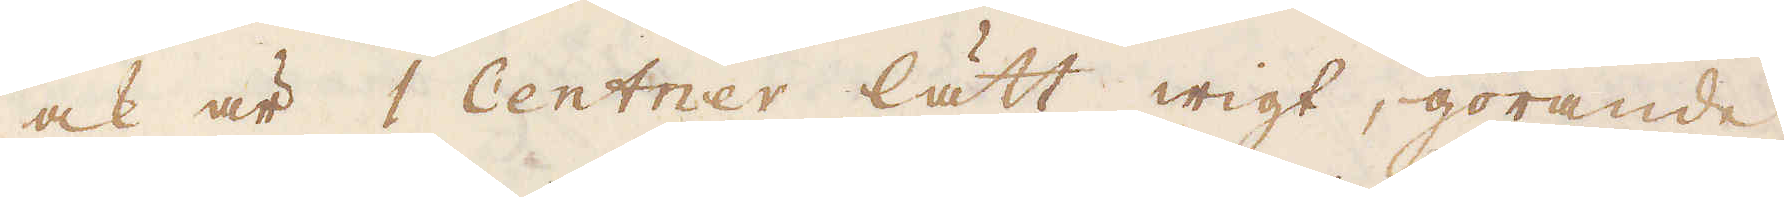ock är 1 Centner lätt wigt, görande
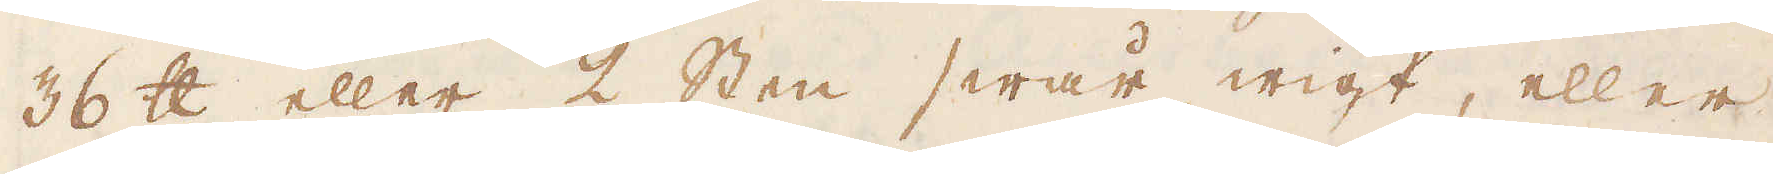36 skålpund eller 2 Sten swår wigt, eller
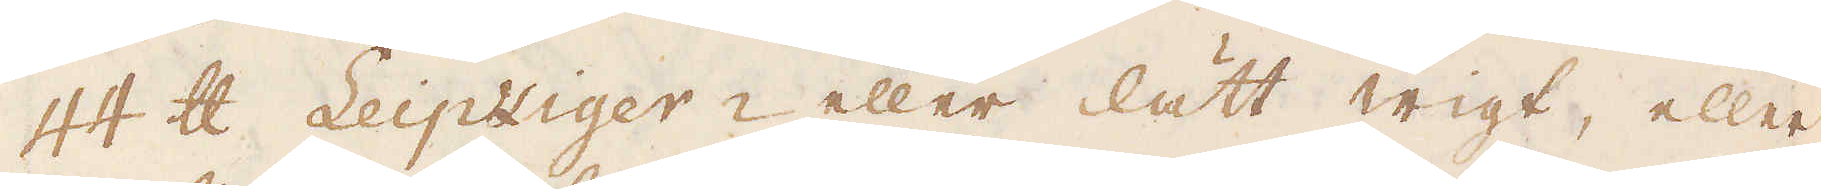44 skålpund Leipziger- eller lätt wigt, eller
